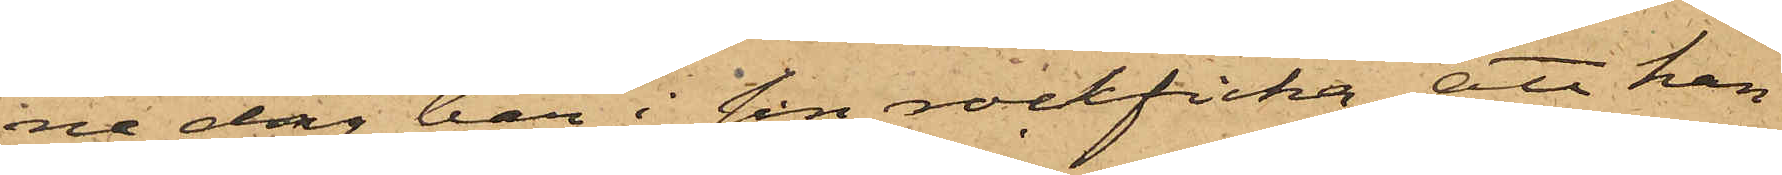na dag har i sin rockficka att han
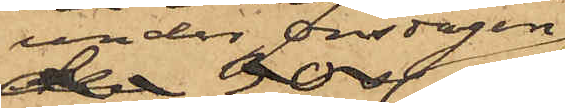under onsdagen
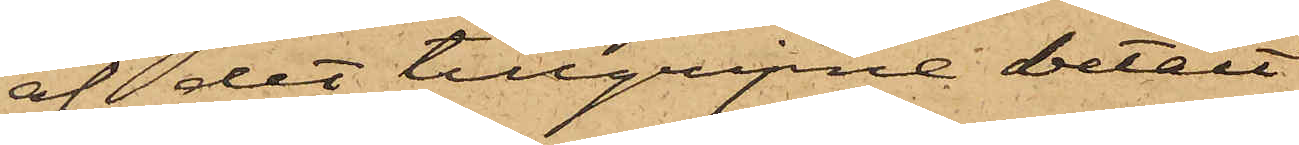af det tillgripne betalt
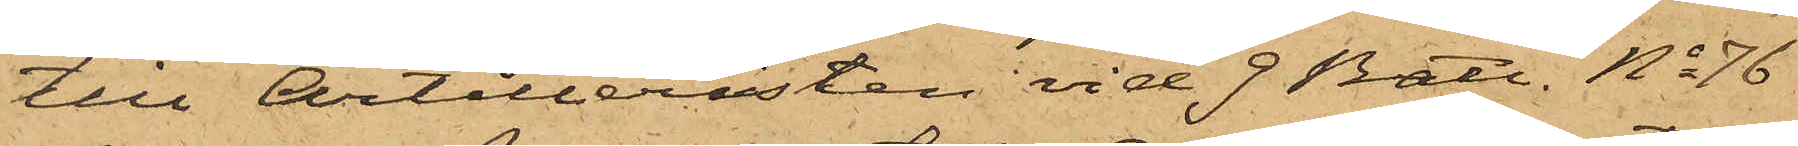till Artilleristen vid 9 Batt. No 76
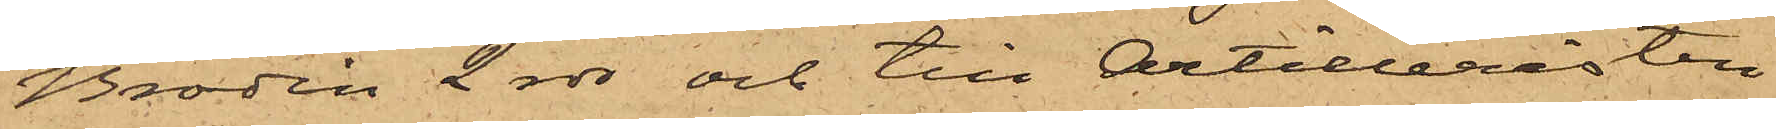Brodin 2 rdr och till Artilleristen
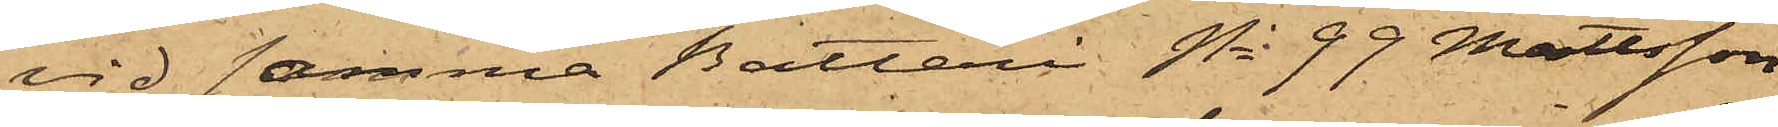vid samma Batteri No 99 Mattsson
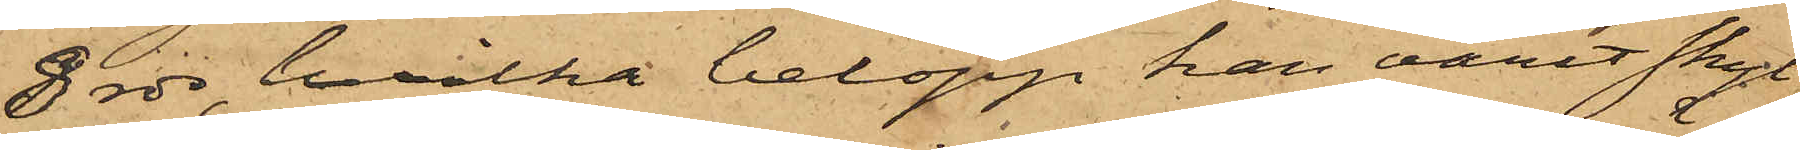8 rdr, hvilka belopp han varit skyl¬
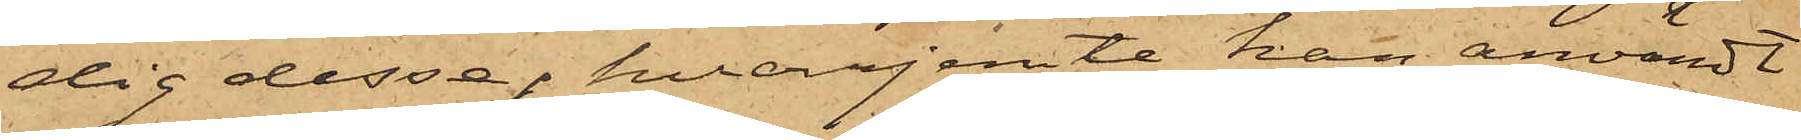dig dessa; hvarjemte han användt
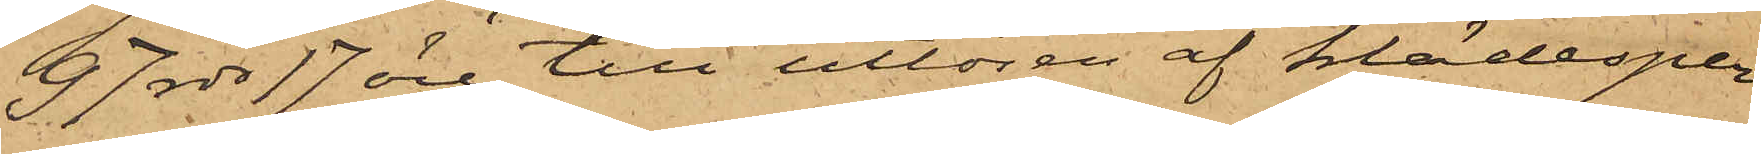97 rdr 17 öre till utlösen af klädesper¬
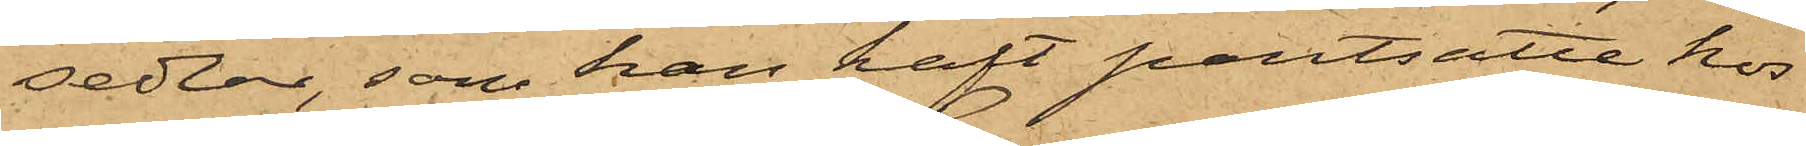sedlar, som han haft pantsatte hos
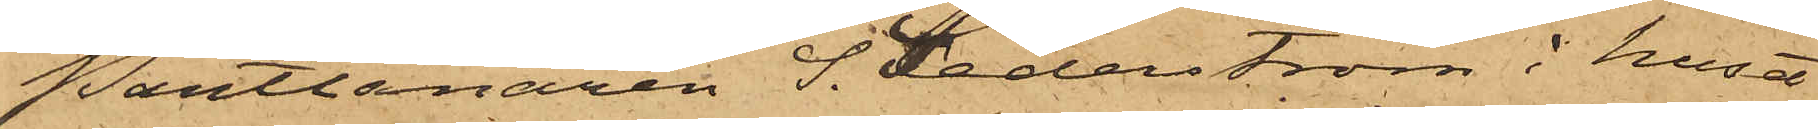Pantlånaren S. Sederström i huset
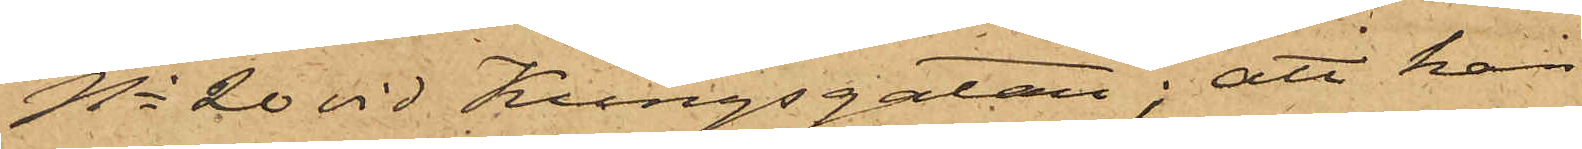No 20 vid Kungsgatan; att han
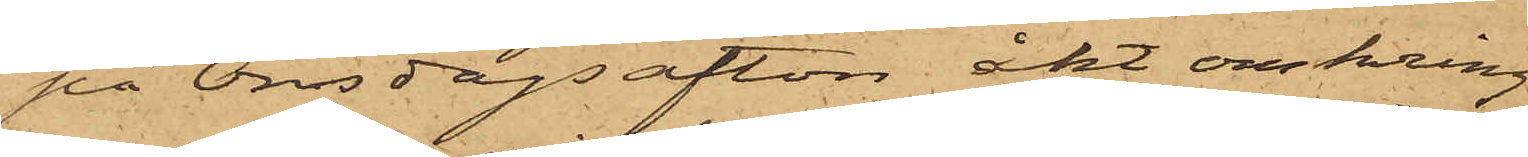på Onsdags afton åkt omkring
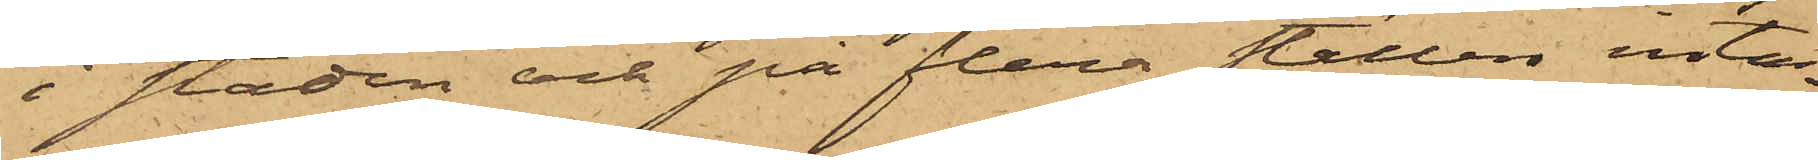i staden och på flera ställen inta¬
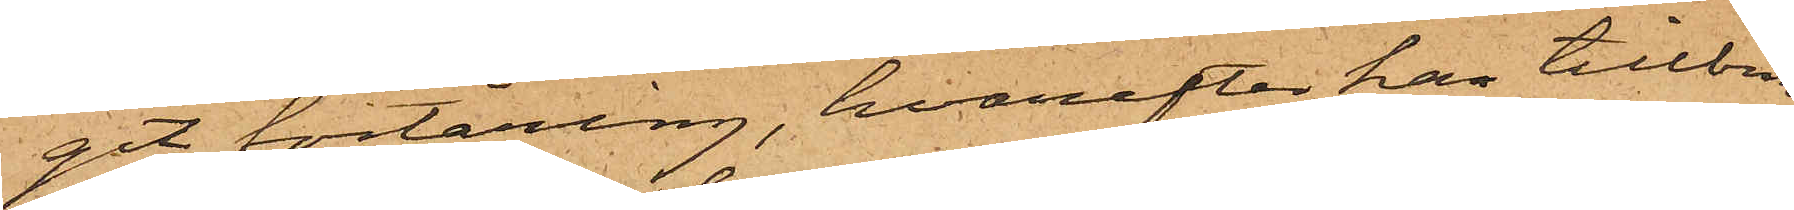git förtäring, hvarefter han tillbrin¬
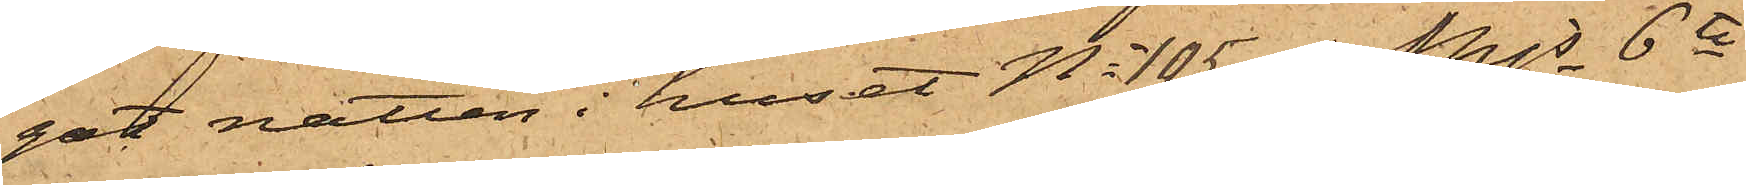gat natten i huset No 105 Mjs 6te
